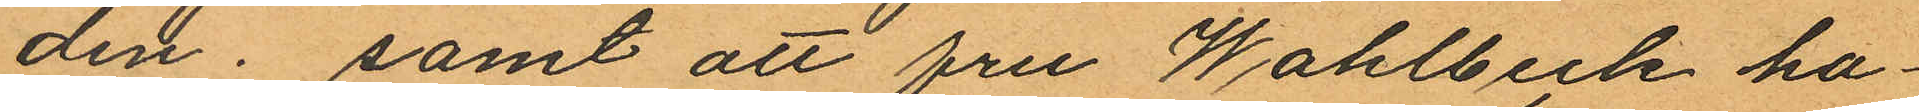den; samt att fru Wahlbeck ha¬
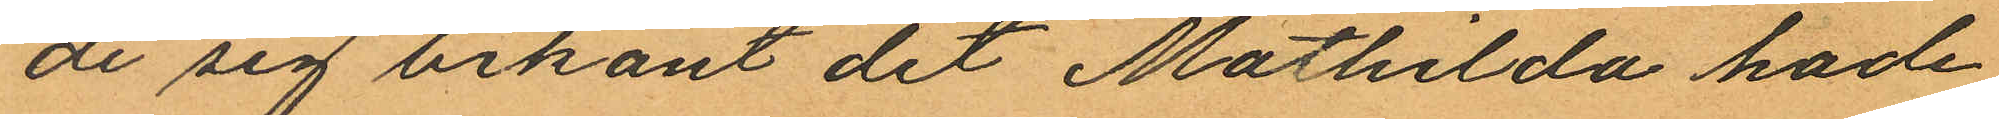de sig bekant det Mathilda hade
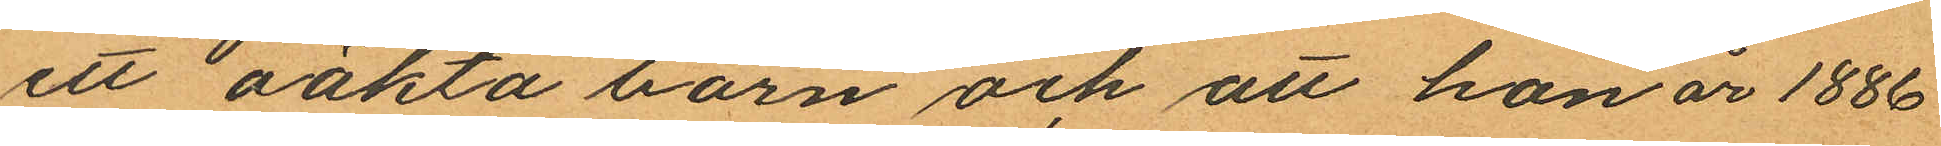ett oäkta barn och att hon år 1886
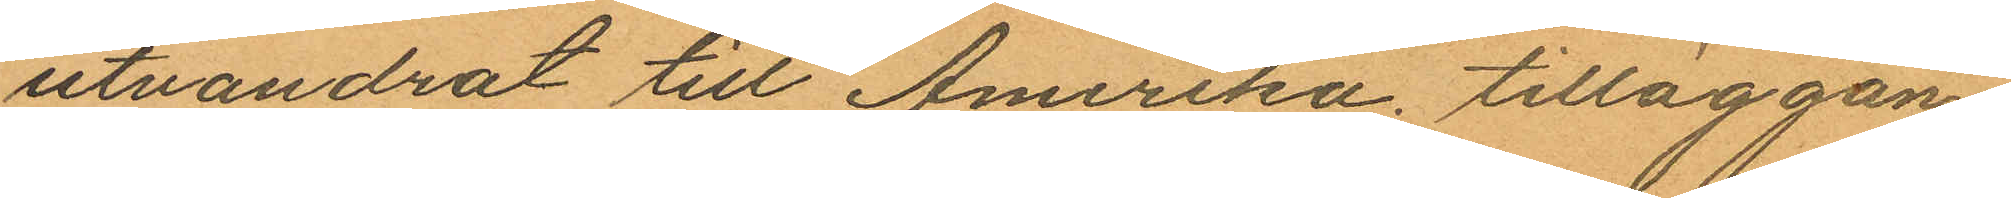utvandrat till Amerika. tilläggan¬
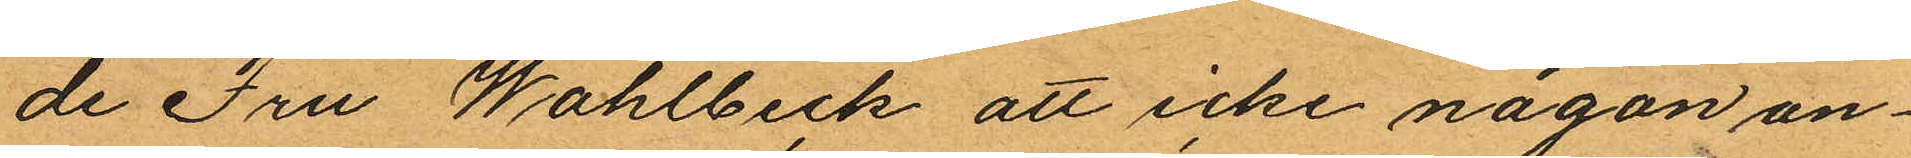de Fru Wahlbeck att icke någon an¬
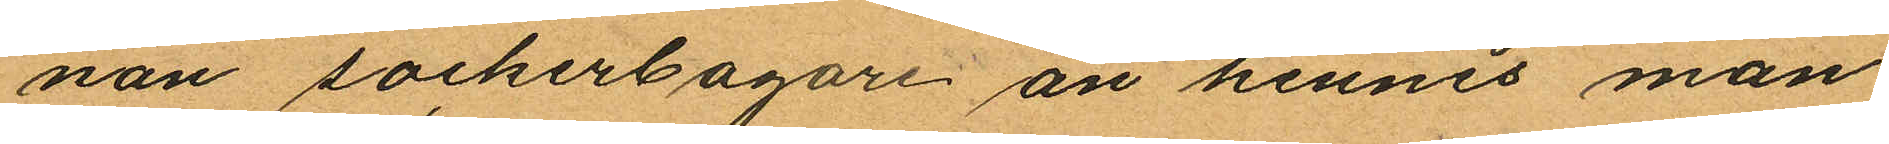nan sockerbagare än hennes man
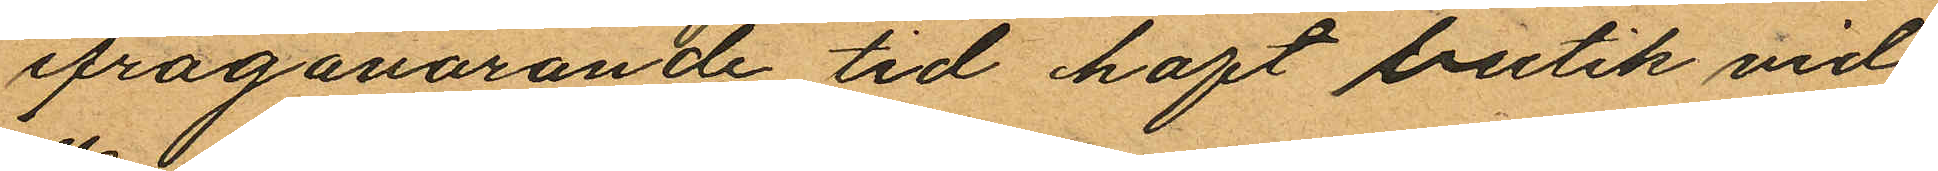ifrågavarande tid haft butik vid
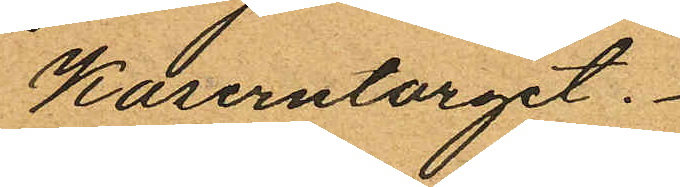Kaserntorget.
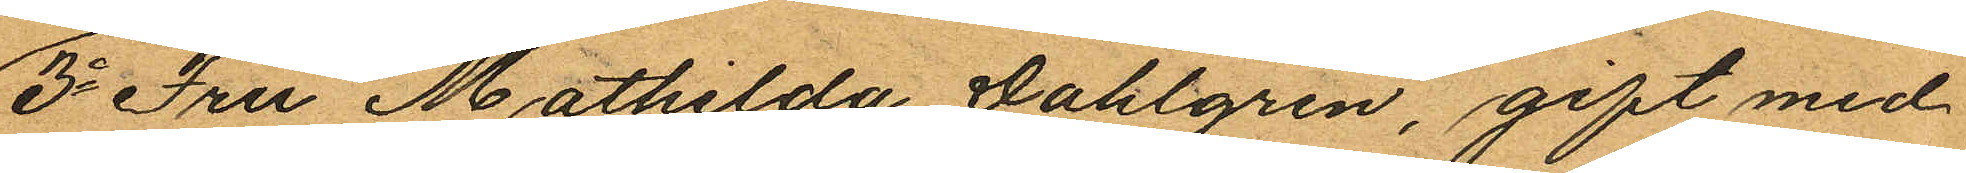3o Fru Mathilda Dahlgren, gift med
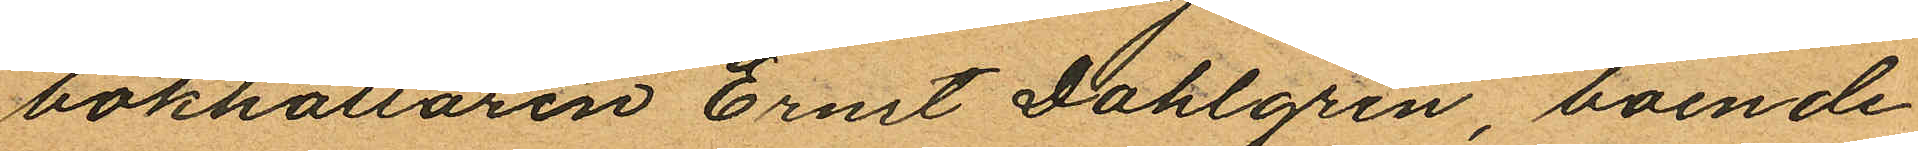bokhållaren Ernst Dahlgren, boende
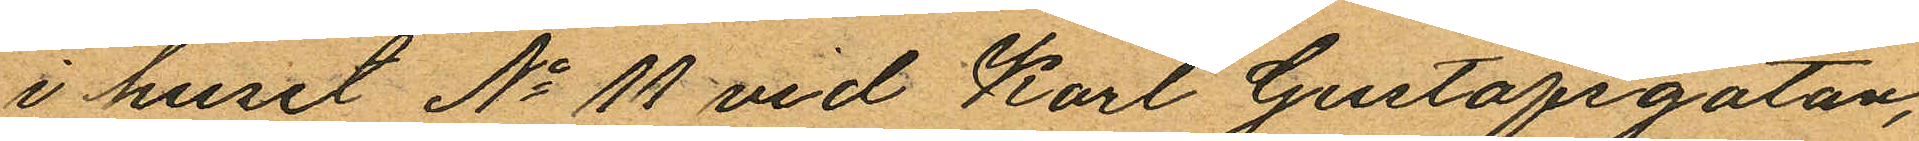i huset No 11 vid Karl Gustafsgatan,
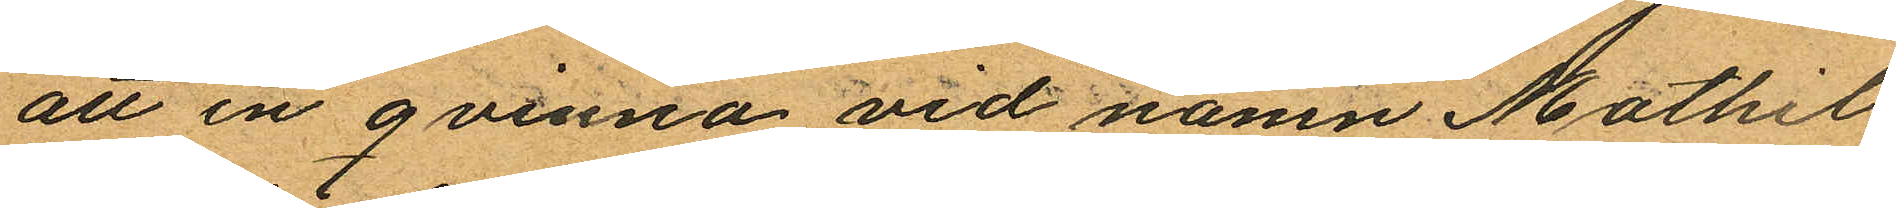att en qvinna vid namn Mathil¬
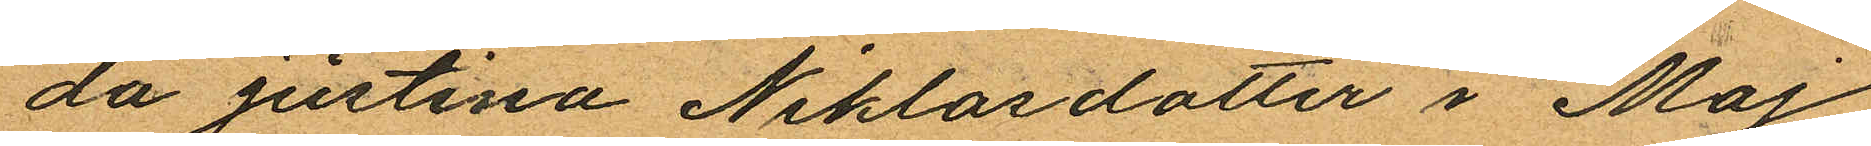da Justina Niklasdotter i Maj
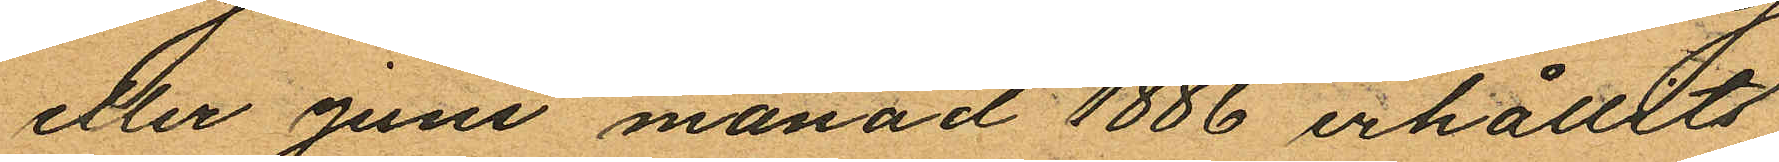eller Juni månad 1886 erhållit
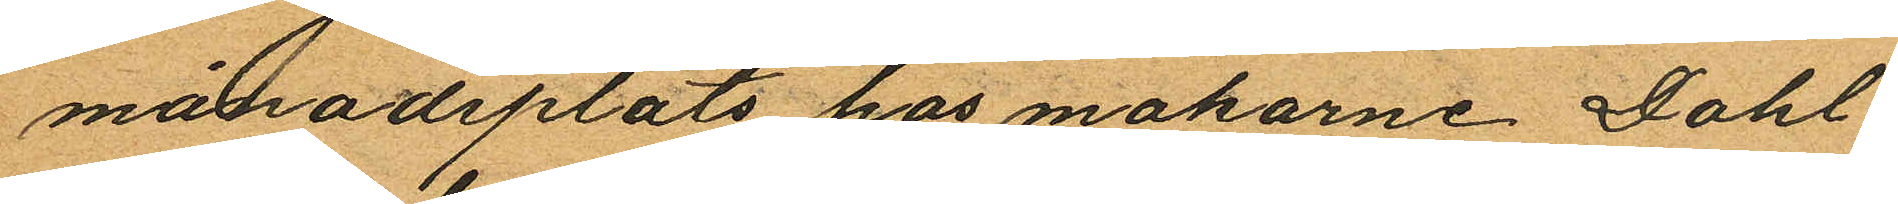månadsplats hos makarne Dahl¬
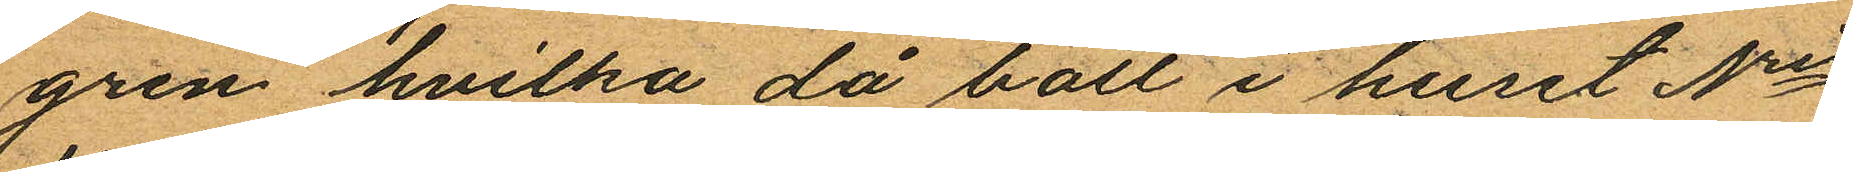gren hvilka då bott i huset Nris
